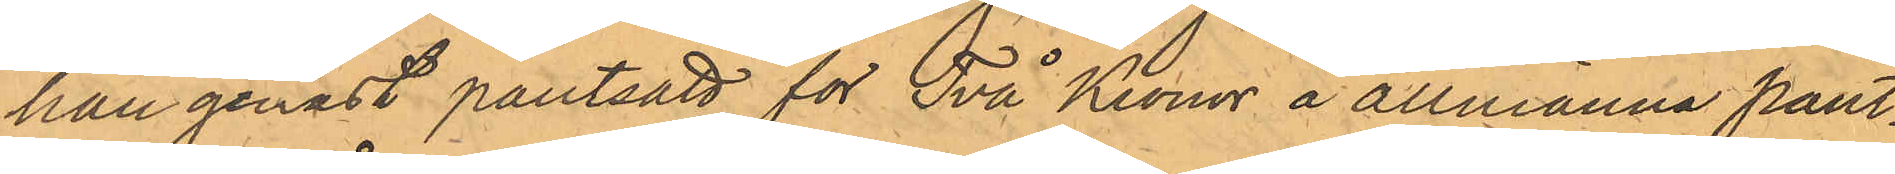han genast pantsatt för Två Kronor å allmänna pant¬
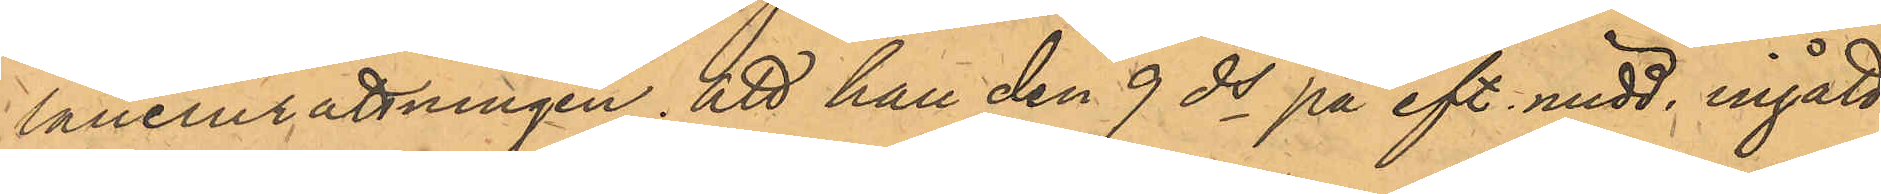låneinrättningen, att han den 9 ds på eft. midd. ingått
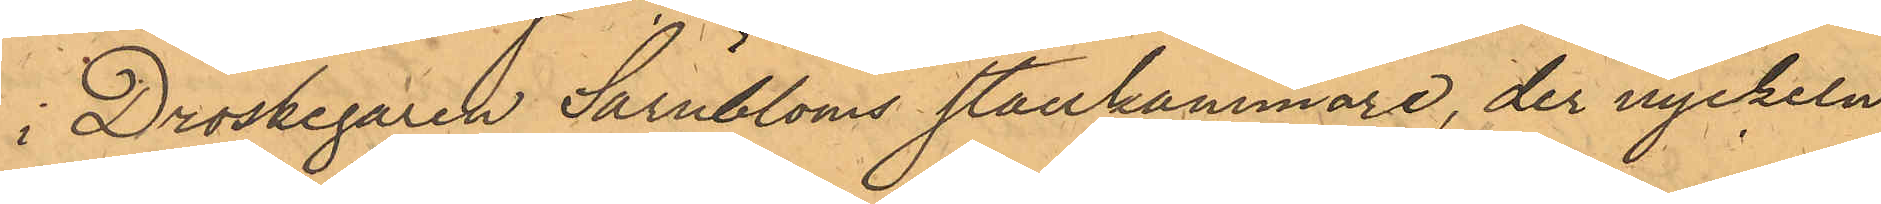i Droskegaren Särnbloms stallkammare, der nyckeln
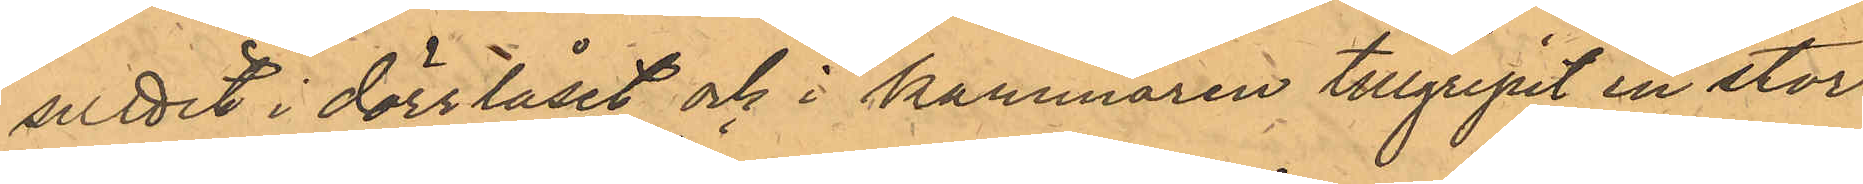suttit i dörrlåset och i kammaren tillgripit en stor¬
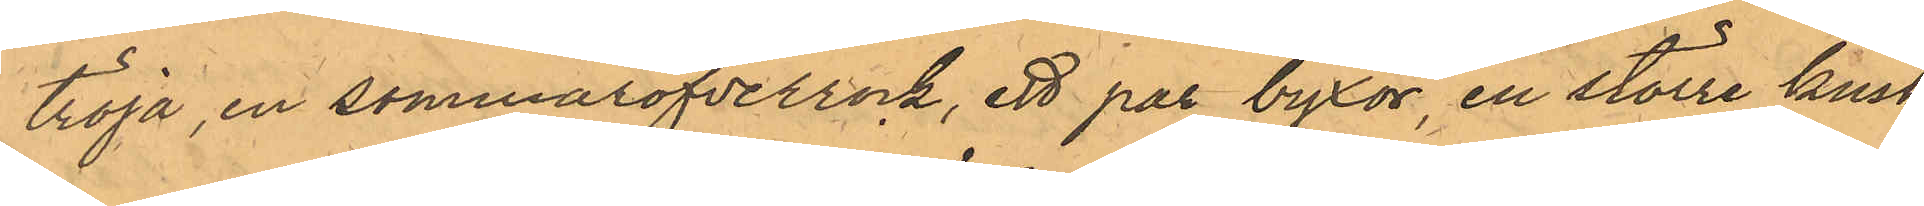tröja, en sommaröfverrock, ett par byxor, en större kusk¬
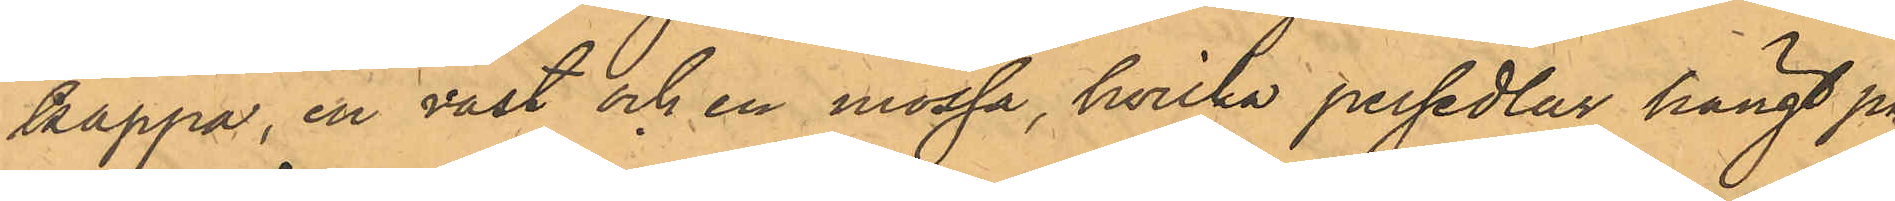kappa, en väst och en mössa, hvilka persedlar hängt på
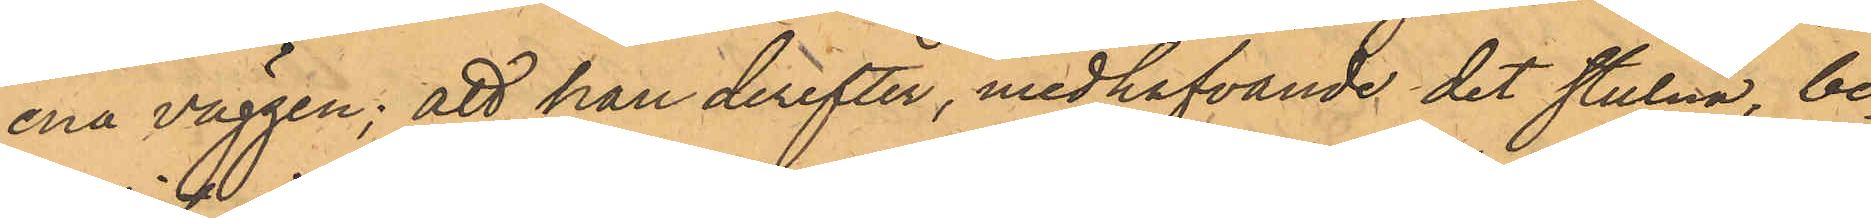ena väggen; att han derefter, medhafvande det stulna, be¬
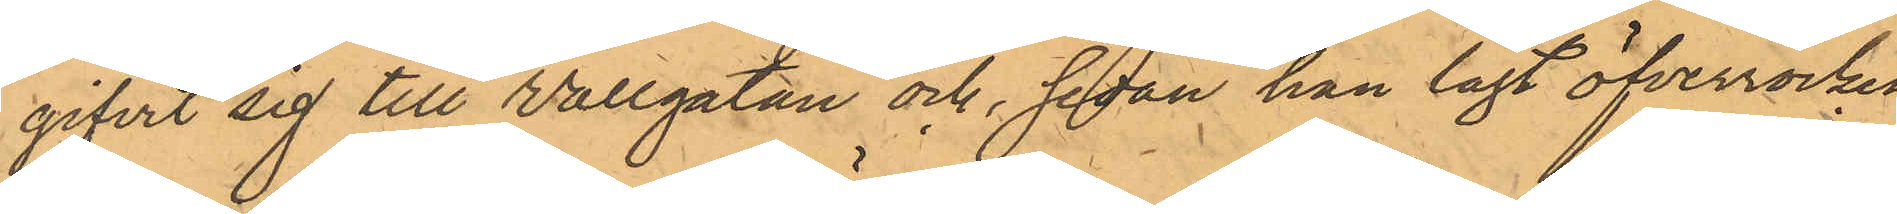gifvit sig till Vallgatan och, sedan han lagt öfverrocken,
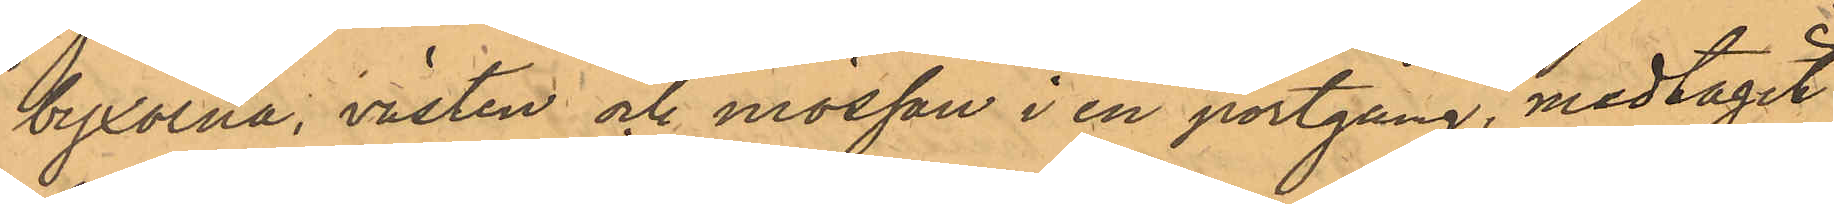byxorna, västen och mössan i en portgång, medtagit
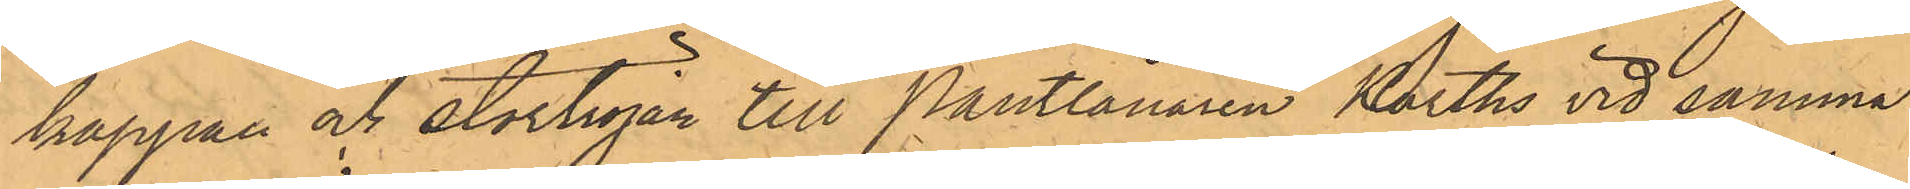kappan och stortröjan till Pantlånaren Karths vid samma
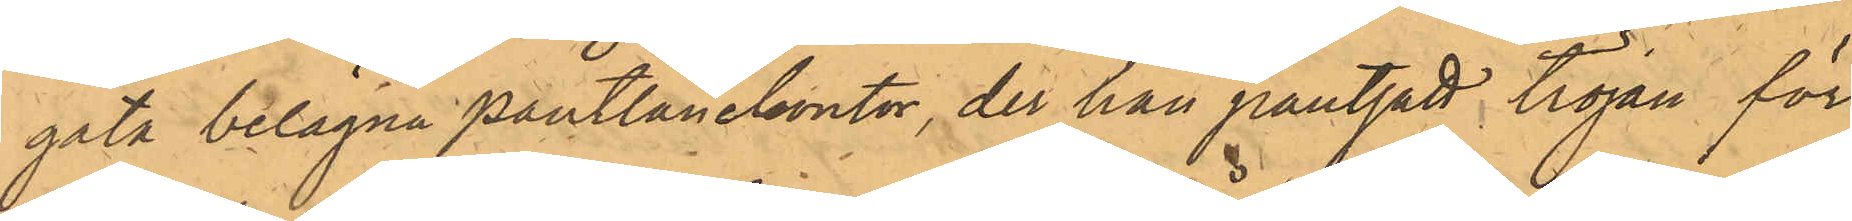gata belägna pantlånekontor, der han pantsatt tröjan för
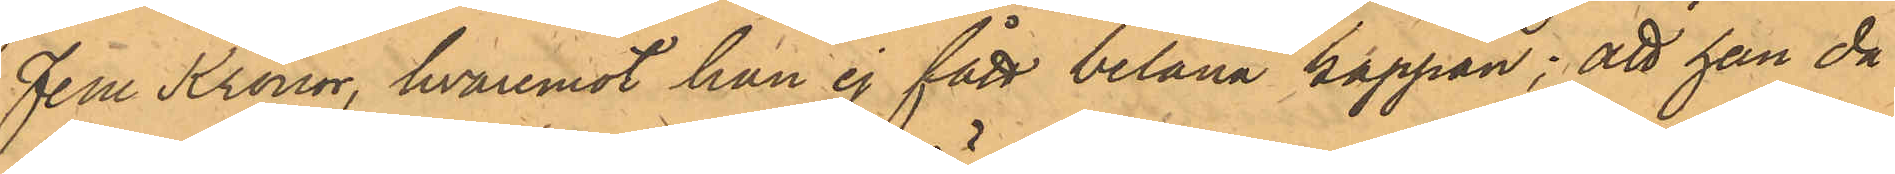fem Kronor, hvaremot han ej fått belåna kappan; att han då
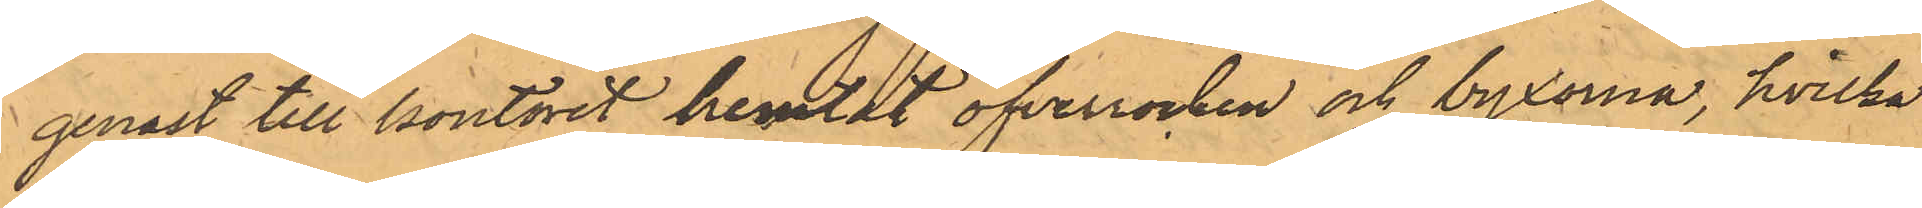genast till kontoret hemtat öfverrocken och byxorna, hvilka
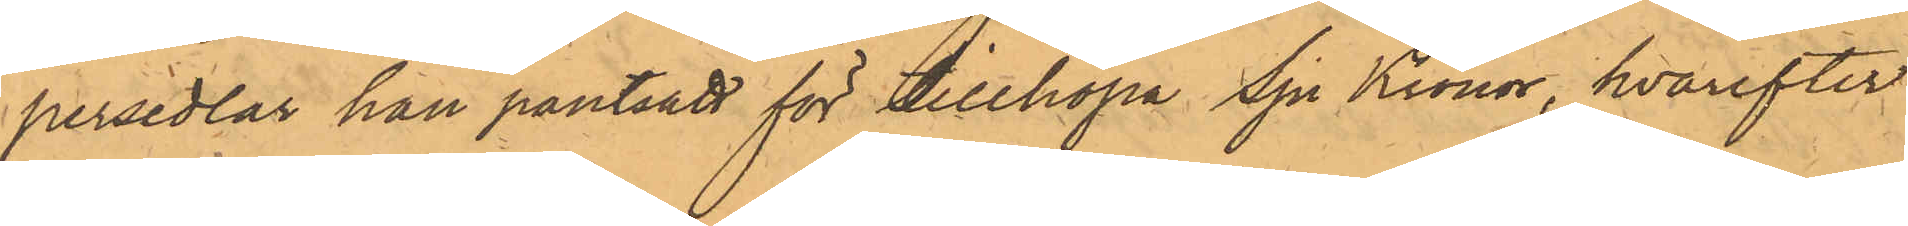persedlar han pantsatt för tillköpa Sju Kronor, hvarefter
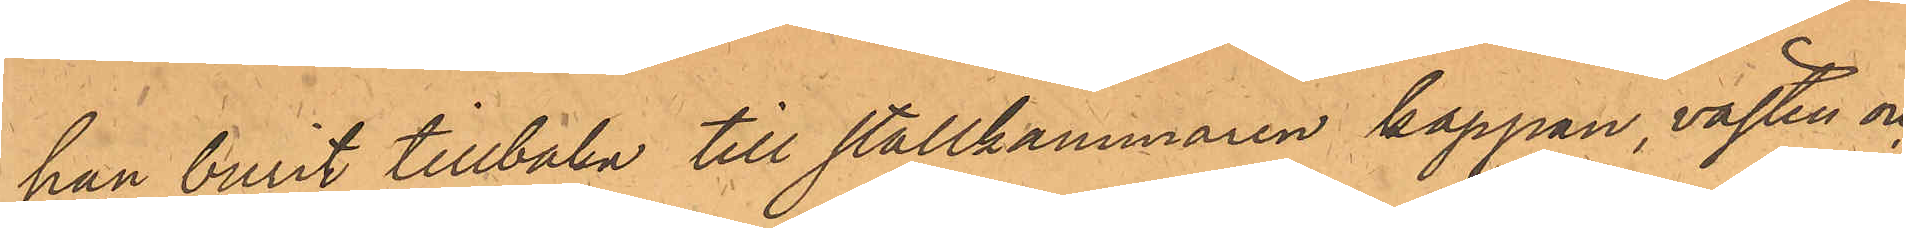han burit tillbaka till stallkammaren kappan, västen och
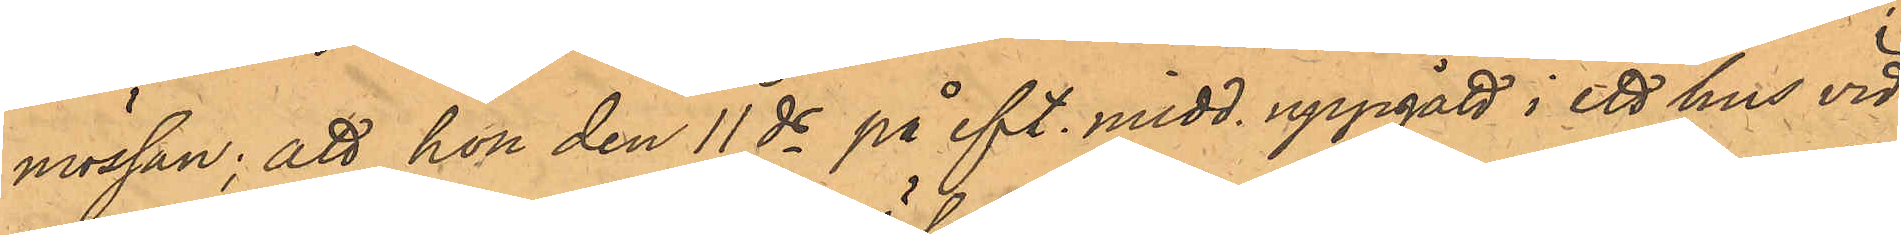mössan; att hon den 11 ds på eft. midd. uppgått i ett hus vid
